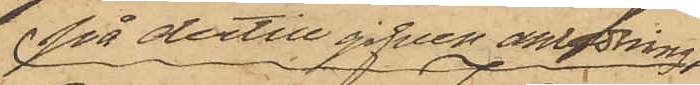på dertill gifven anledning,
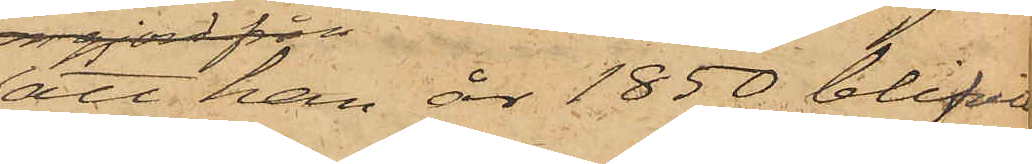att han år 1850 blifvit
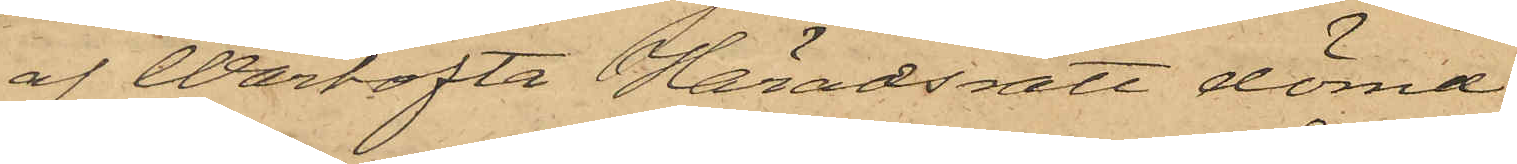af Wartofta Häradsrätt dömd 
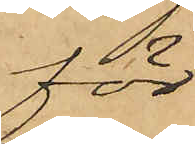för
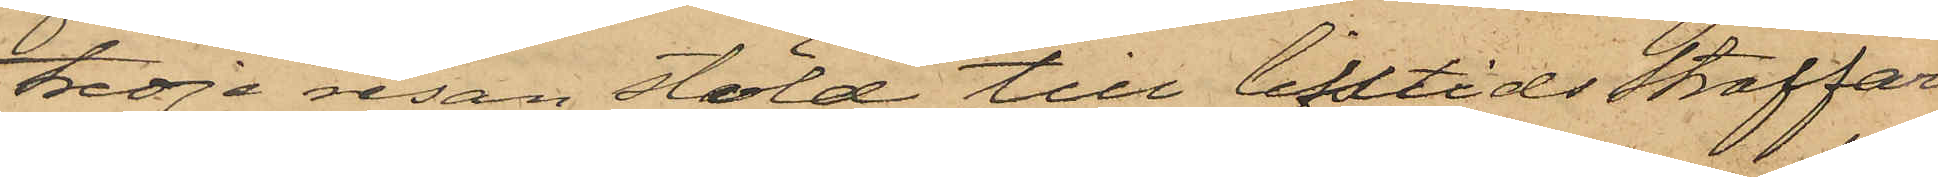tredje resan stöld till lifstids straffar¬
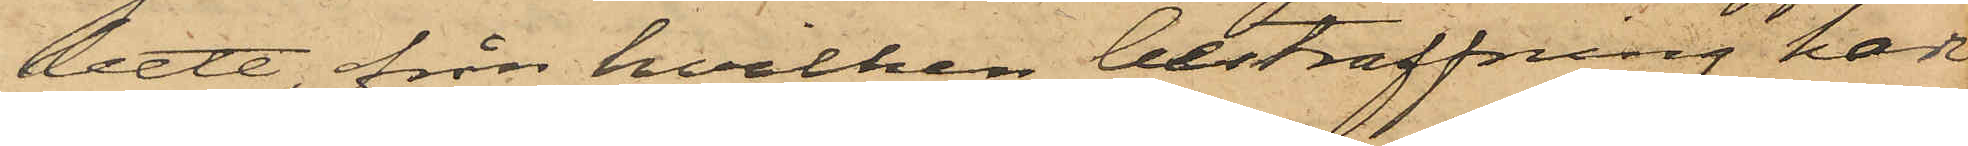bete, från hvilken bestraffning han
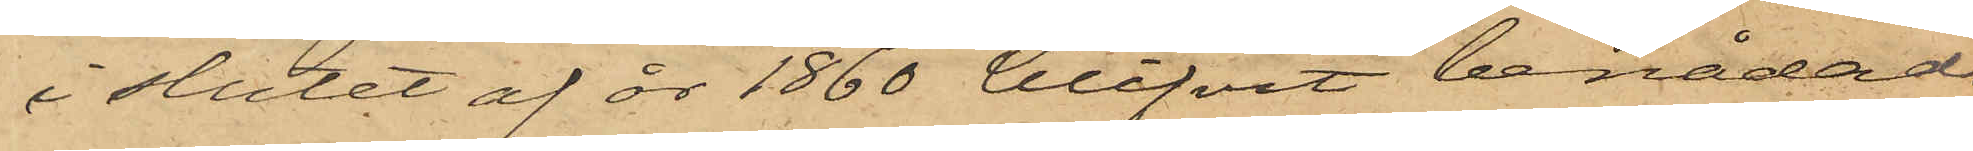i slutet af år 1860 blifvit benådad.
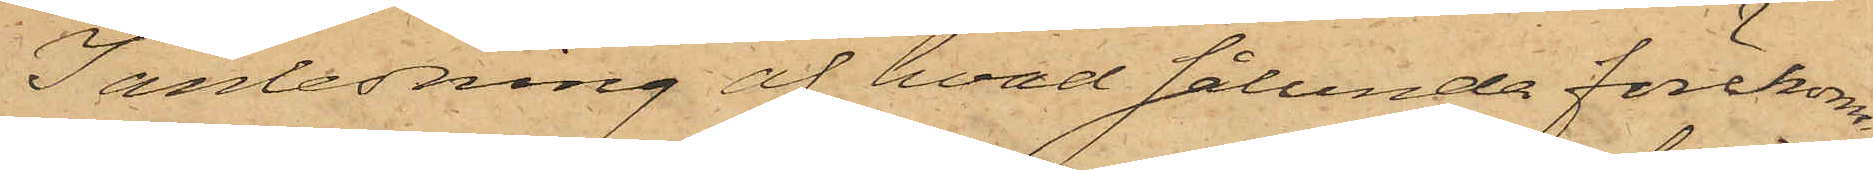I anledning af hvad sålunda förekom¬
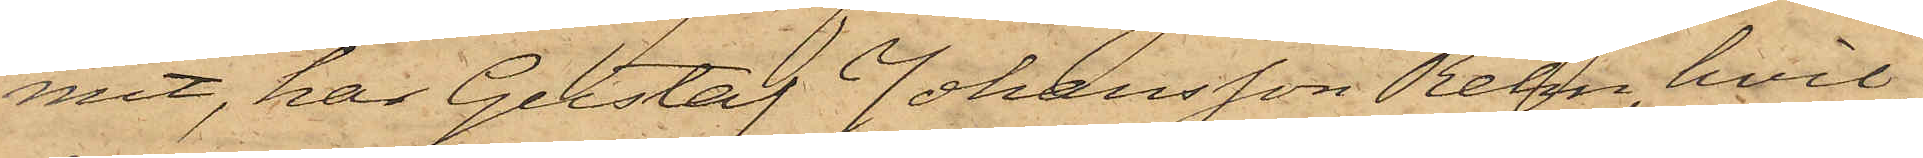mit, har Gustaf Johansson Rehn, hvil¬
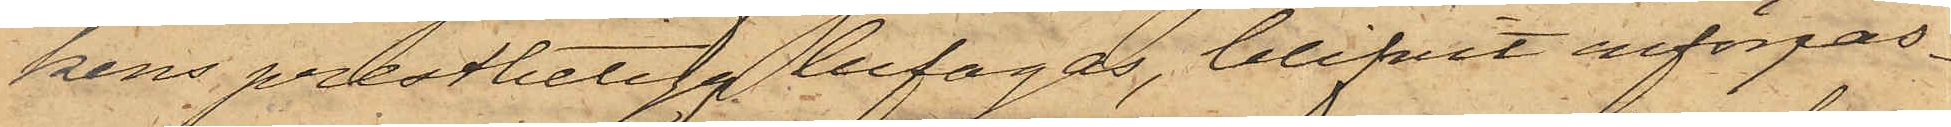kens prestbetyg bifogas, blifvit införpas¬
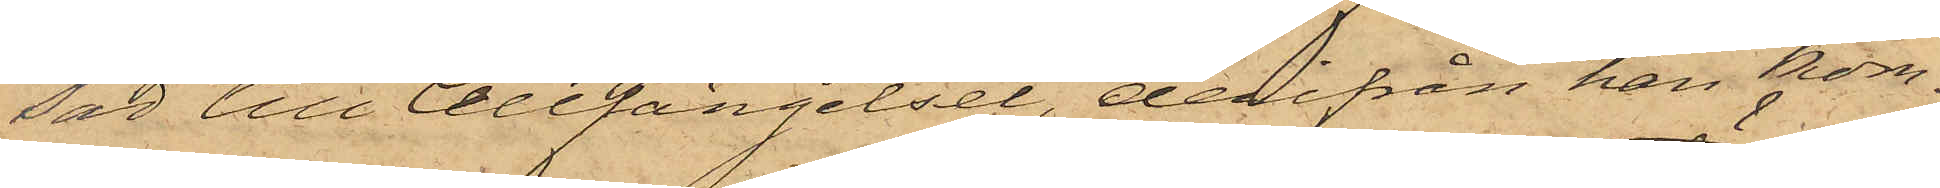sad till Cellfängelset, derifrån han kom¬
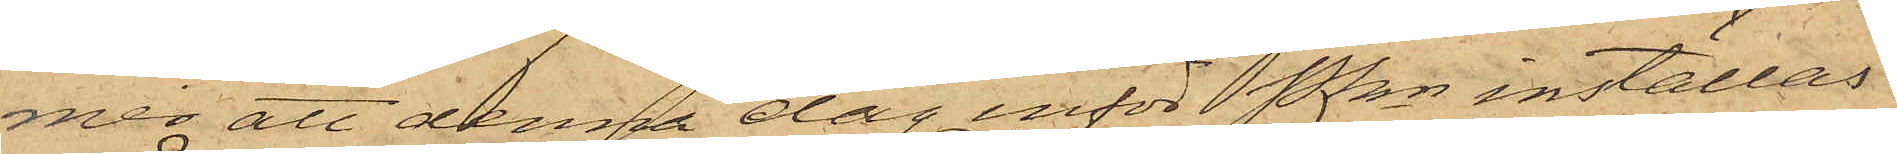mer att denna dag inför Pkn inställas.
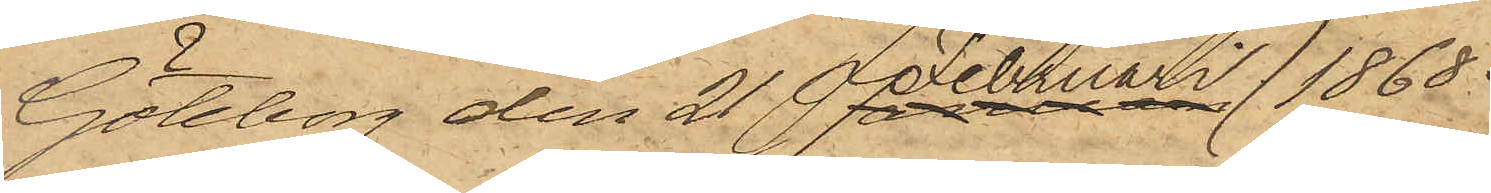Göteborg den 21 Februari 1868.
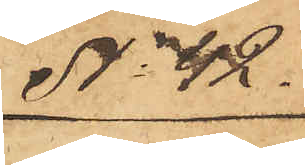No 42.
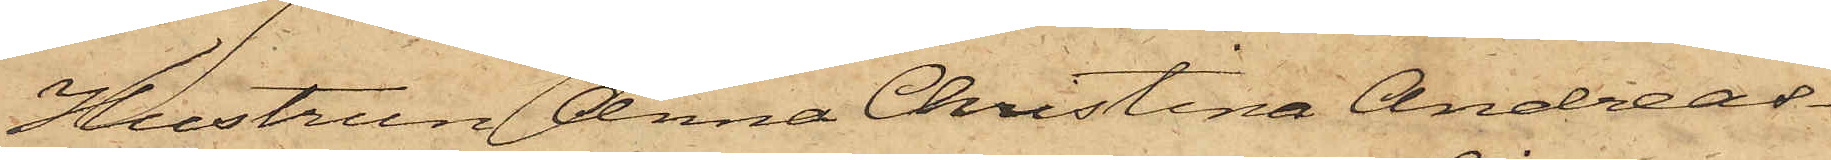Hustrun Anna Christina Andreas¬
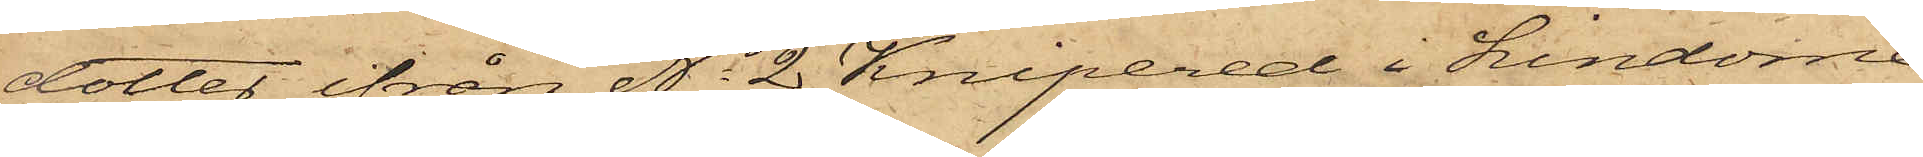dotter ifrån No 2 Knipered i Lindome
